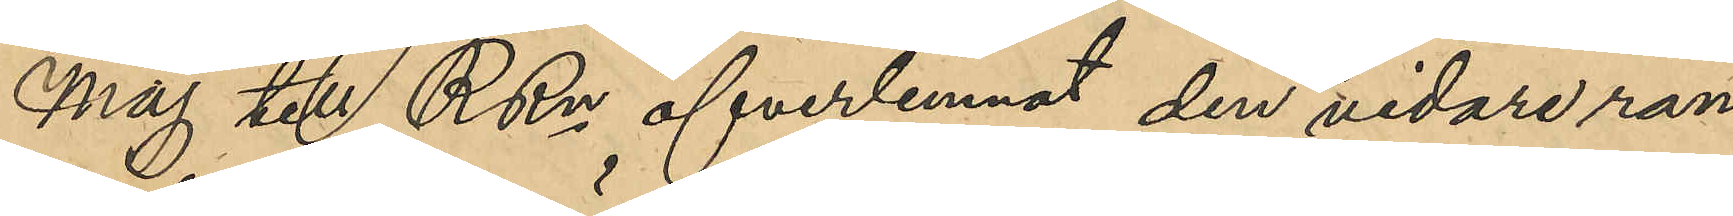Maj till RRn öfverlemnat den vidare ran¬
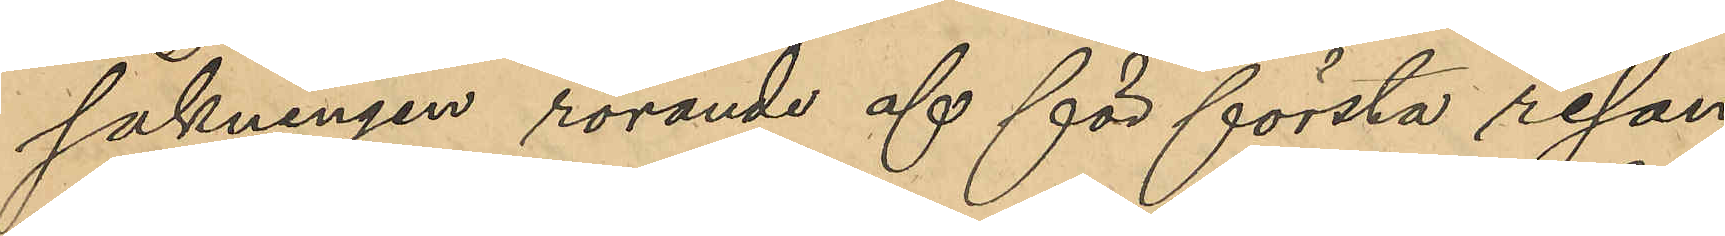sakningen rörande af för första resan
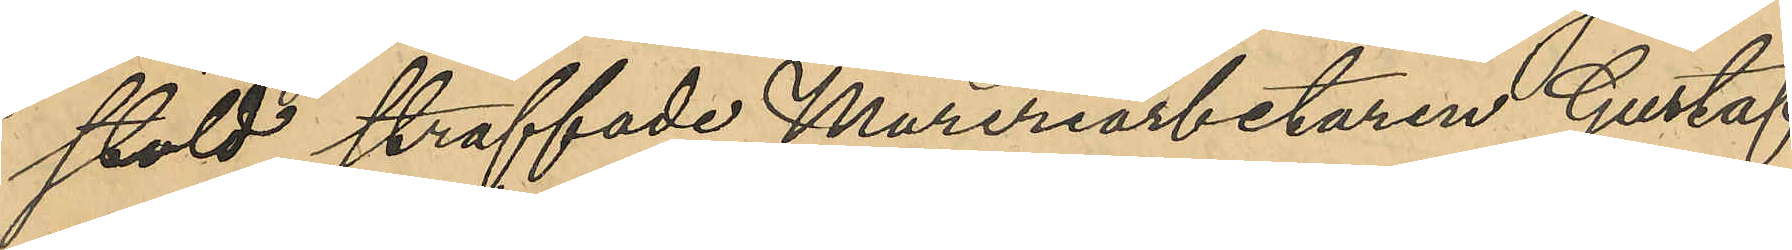stöld straffade Mureriarbetaren Gustaf
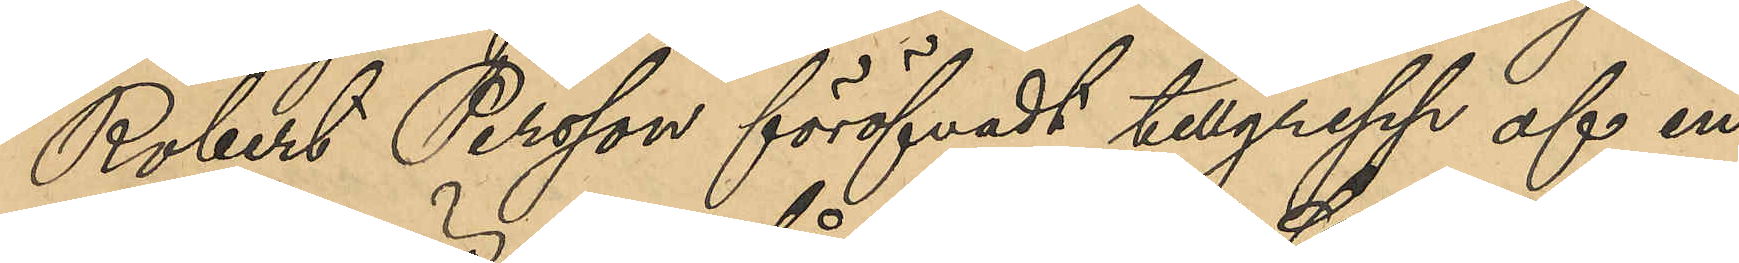Robert Persson föröfvadt tillgrepp af en
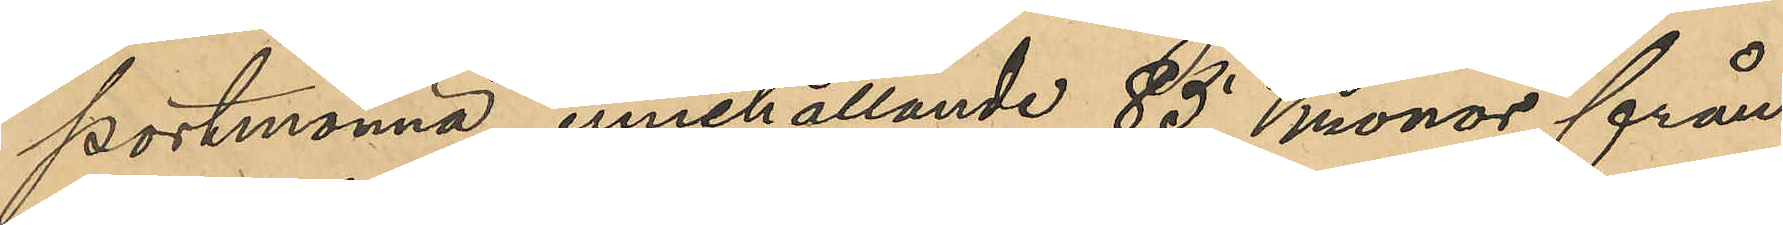portmonnä, innehållande 85 Kronor från
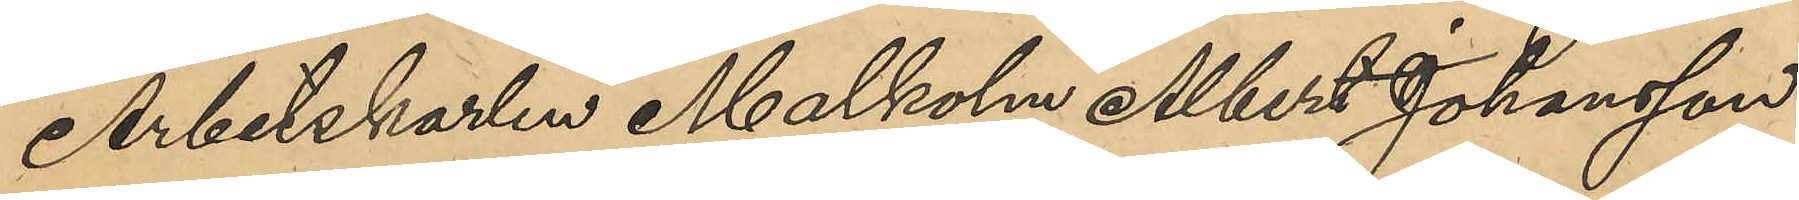Arbetskarlen Malkolm Albert Johansson
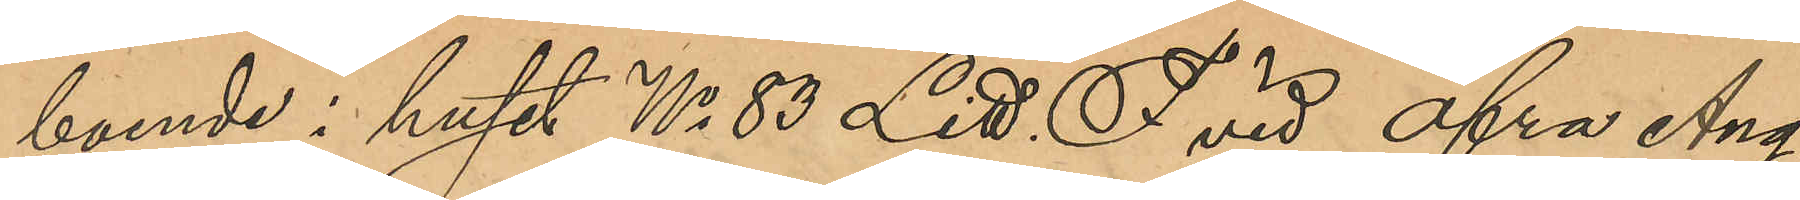boende i huset No 83 Litt. F vid Öfra Äng¬
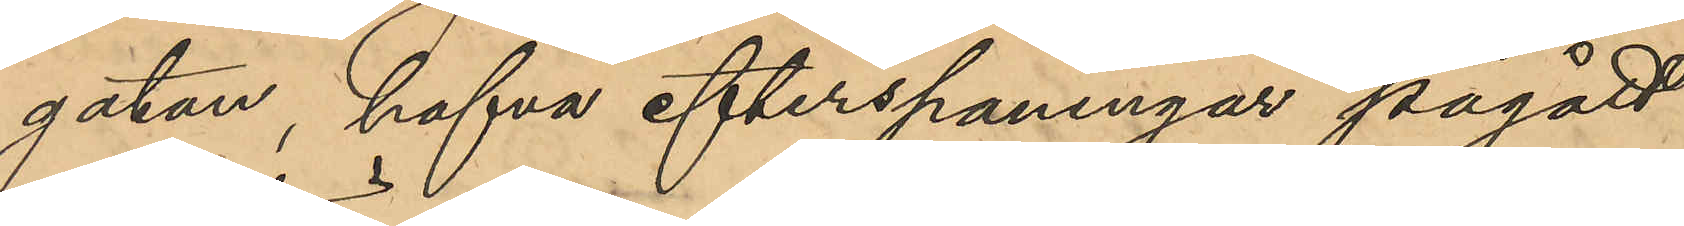gatan, hafva efterspaningar pågått
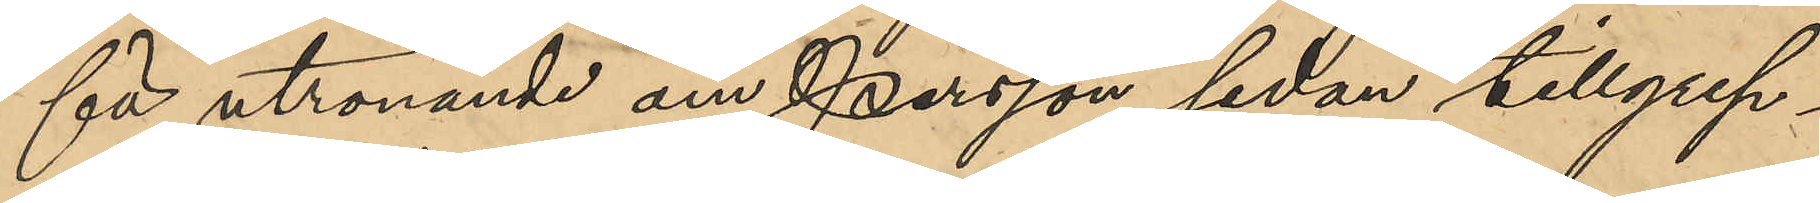för utrönande om Persson sedan tillgrep¬
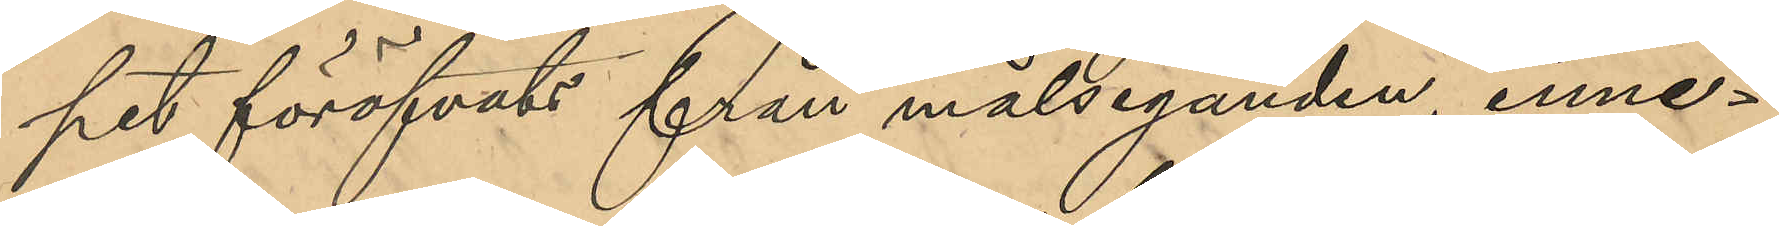pet föröfvats från målseganden, inne¬
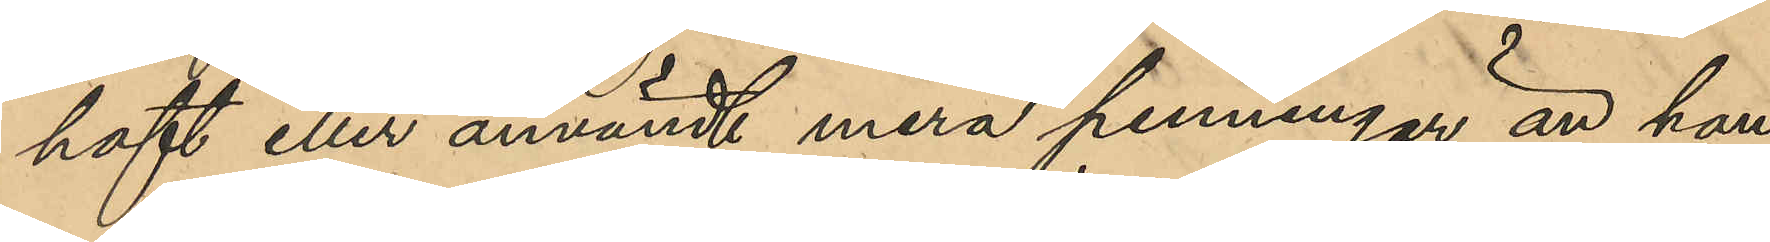haft eller användt mer penningar än han
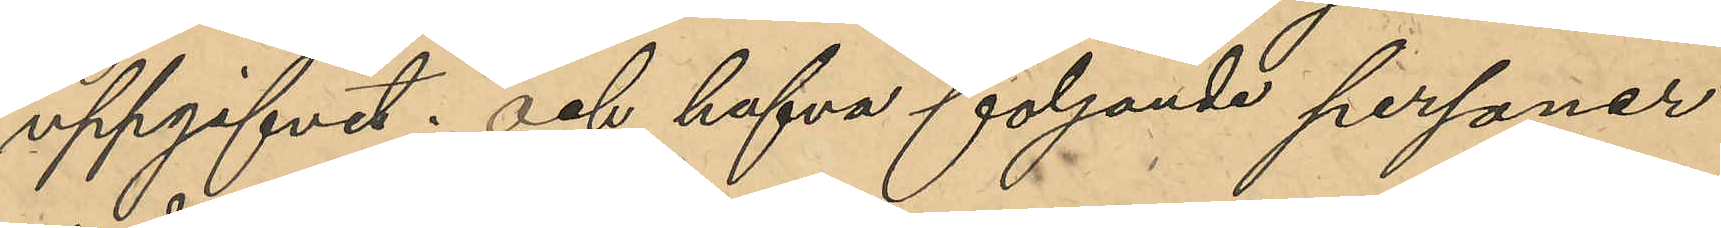uppgifvit och hafva följande personer
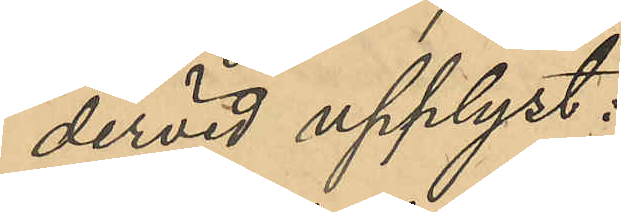devid upplyst:
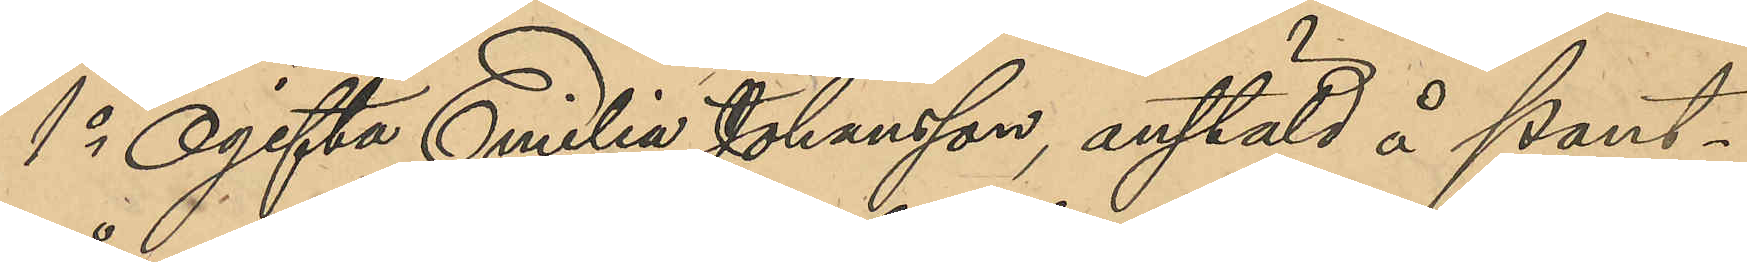1o Ogifta Emilia Johansson, anstäld å Pant¬
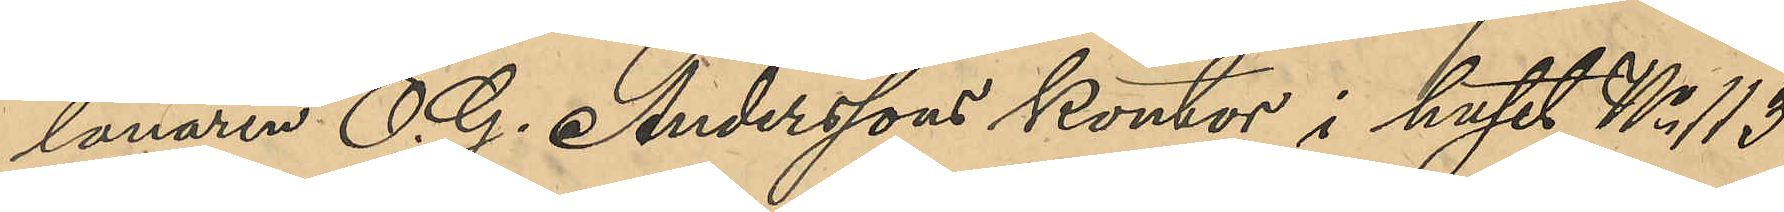lånaren O. G. Anderssons kontor i huset No 113
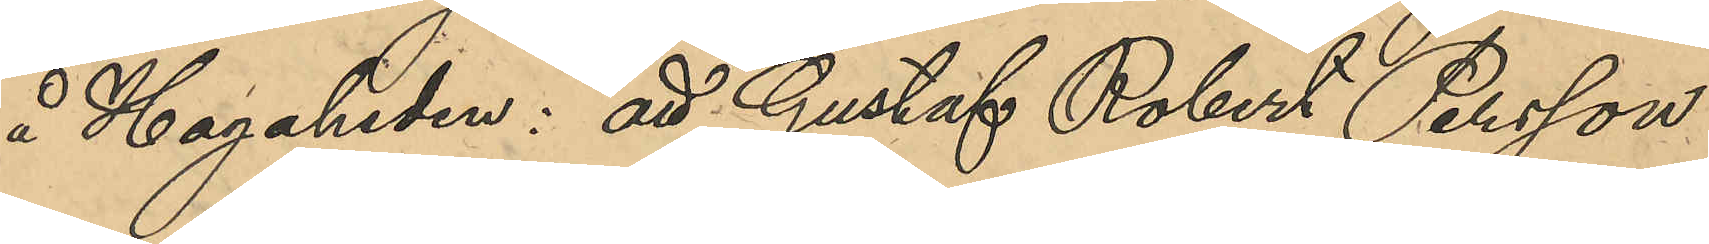å Hagaheden: att Gustaf Robert Persson
